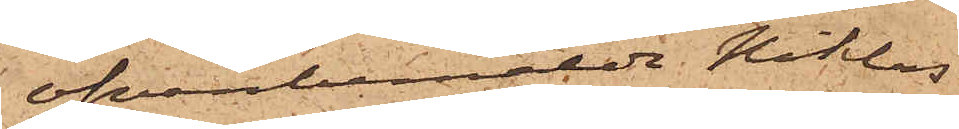ofvanbemälde Niklas
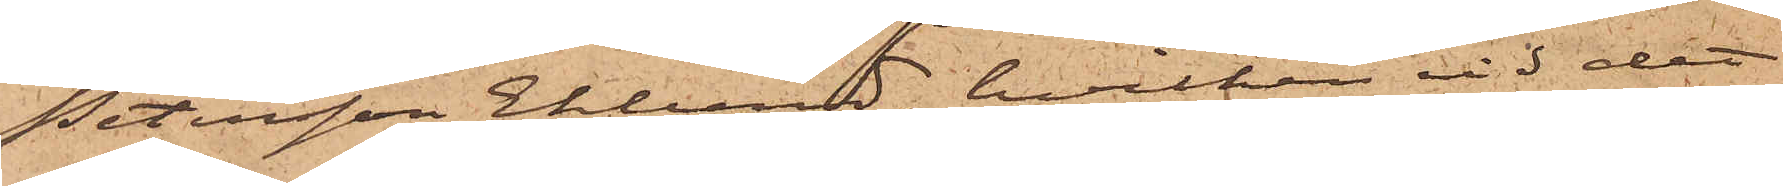Petersson Eklund, hvilken vid det
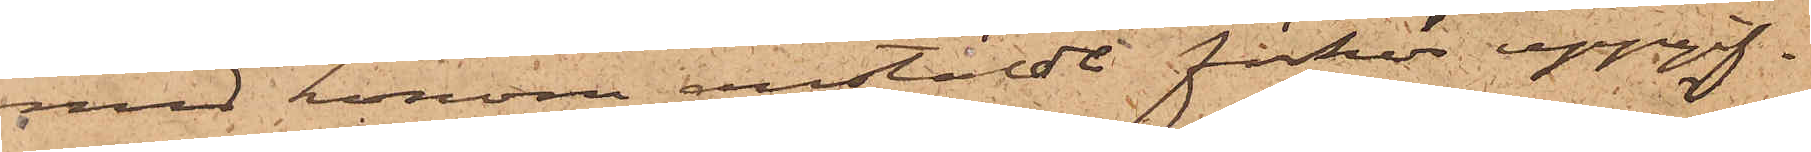med honom anstäldt förhör uppgif¬
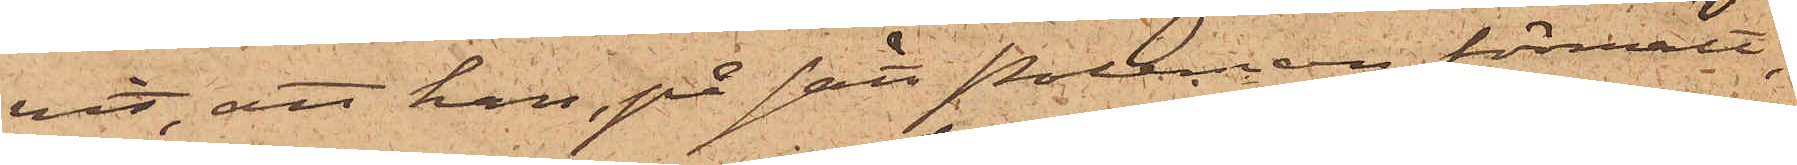vit, att han, på sätt Poleman förmält,
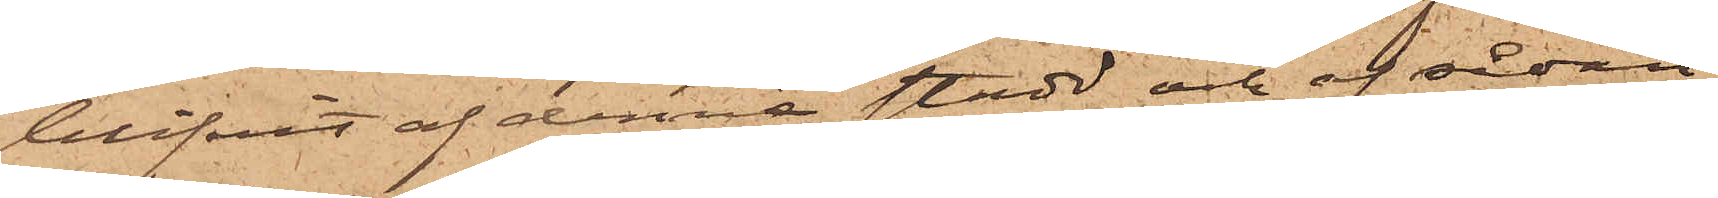blifvit af denne stadd och af sådan
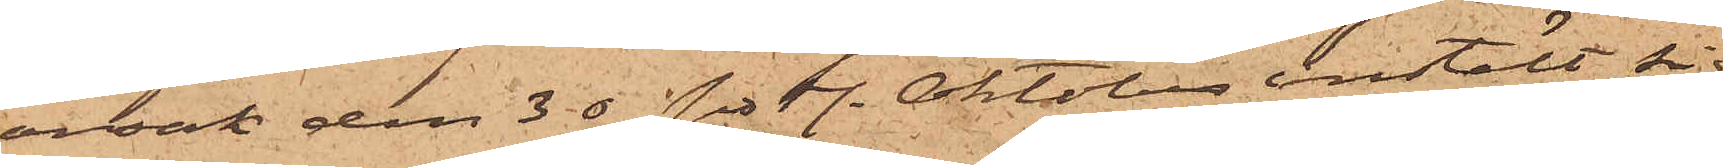orsak den 30 sistl. Oktober instält sig
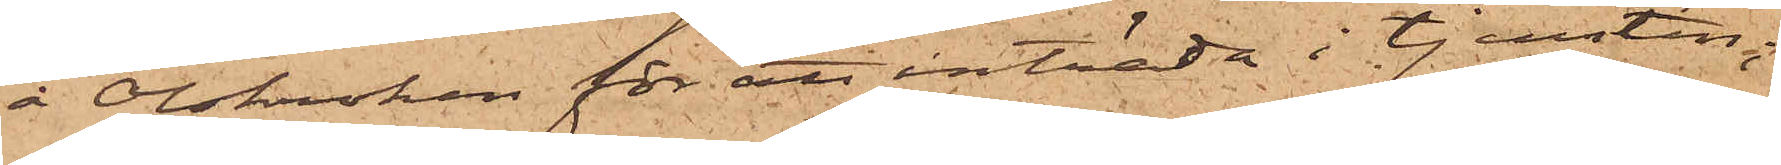å Olskroken för att inträda i tjensten;
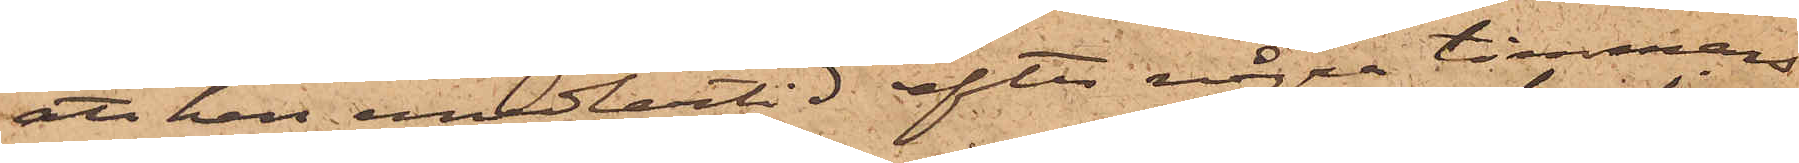att han emedlertid efter några timmars
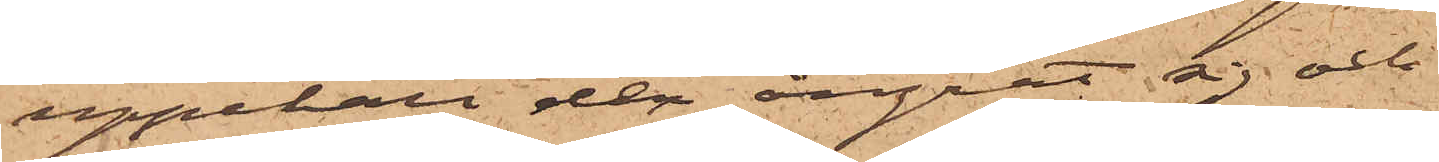uppehåll der ångrat sig och
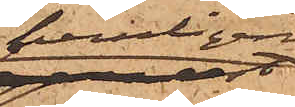hemligen
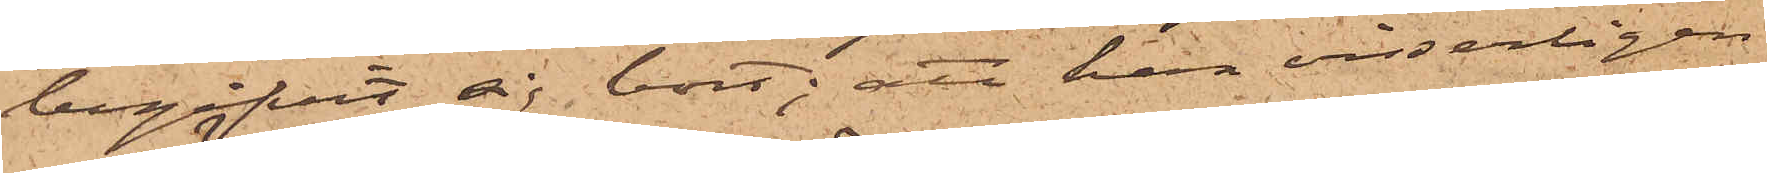begifvit sig bort; att han visserligen
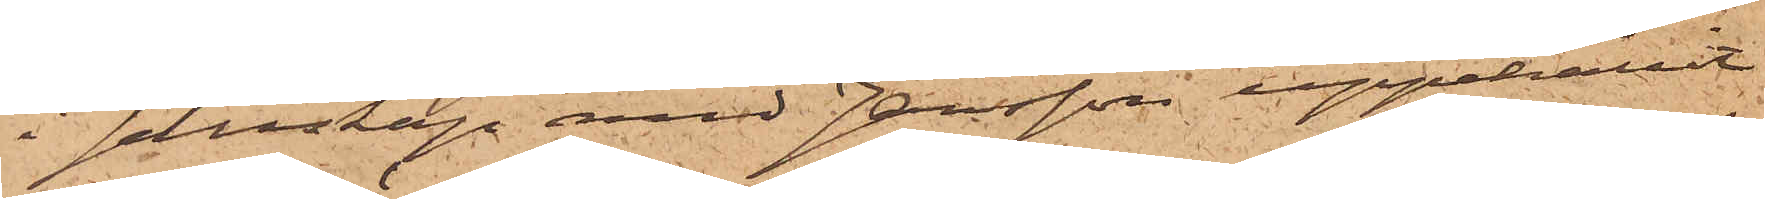i sällskap med Jansson uppehållit
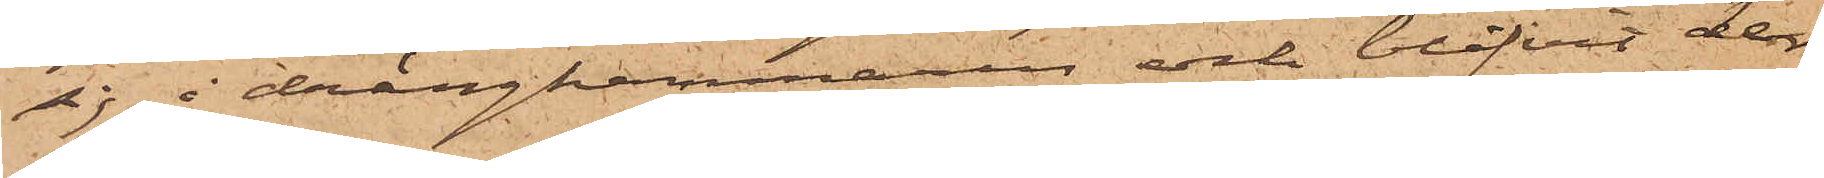sig i drängkammaren och blifvit der
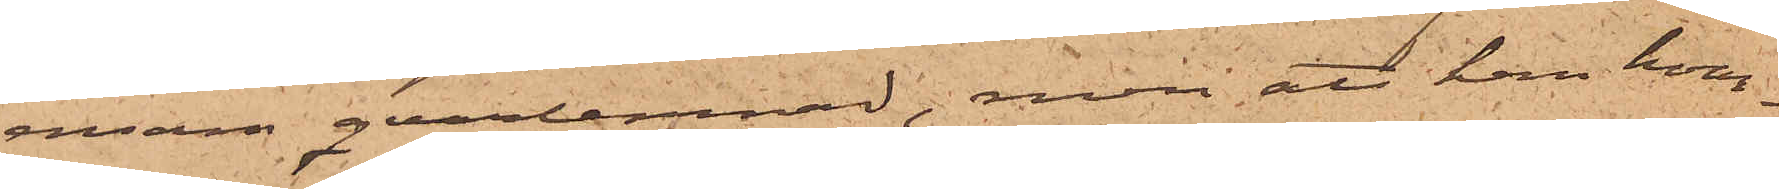ensam qvarlemnad, men att han hvar¬
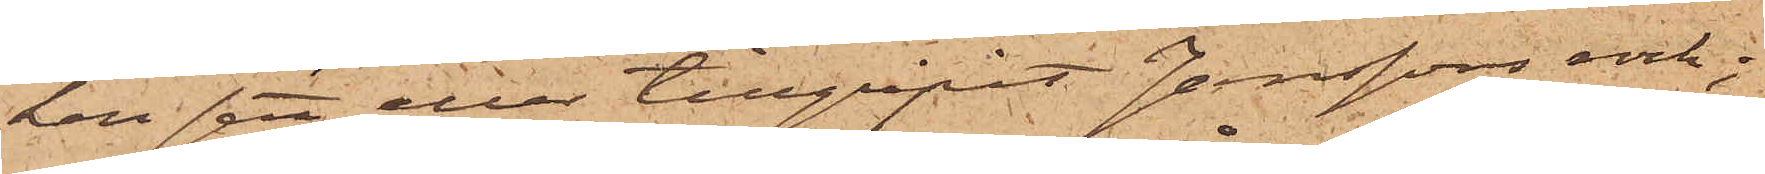ken sett eller tillgripit Janssons rock;
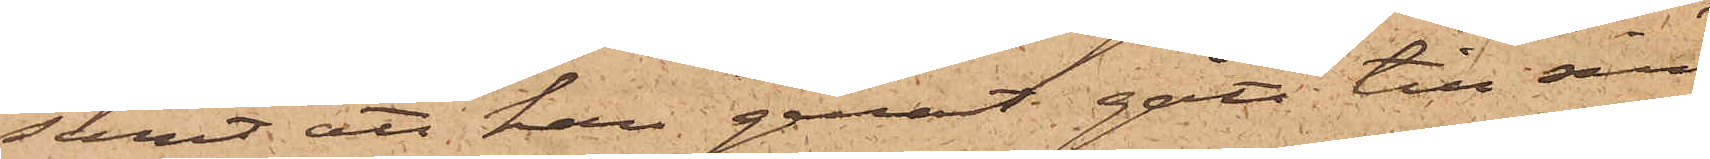samt att han genast gått till sin
